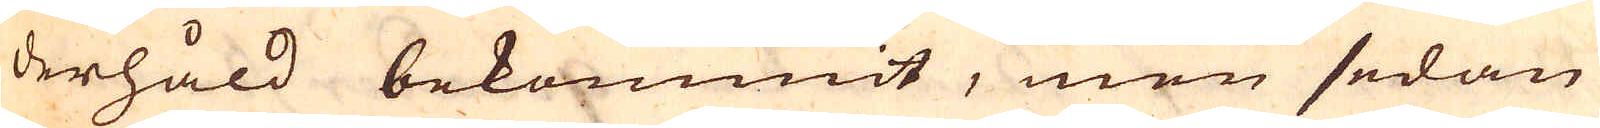derhåld bekommit, men sedan
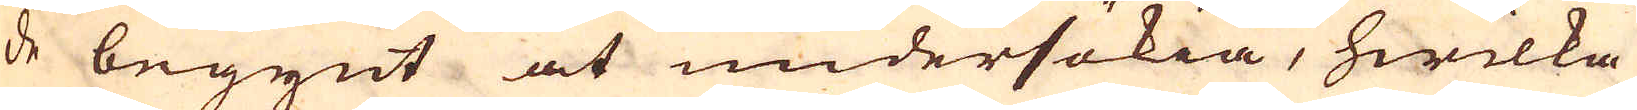de begynt at undersökia, hwilka
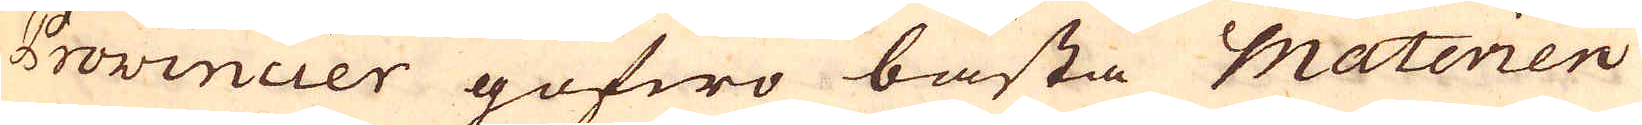Provincier gofwo bästa materien
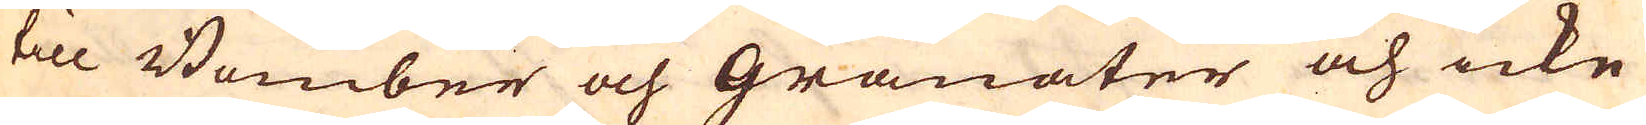till Bomber och granater och icke
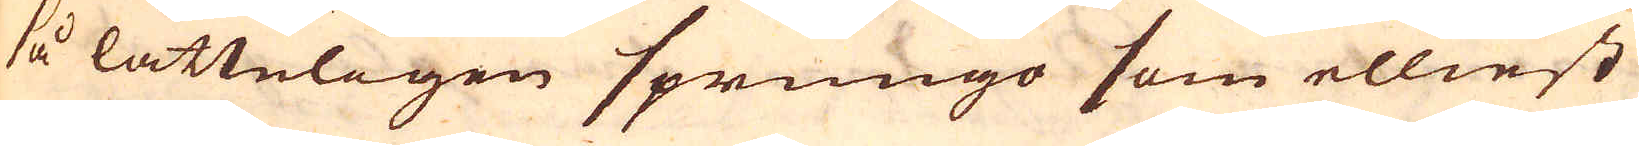så lätteligen sprungo som elliest
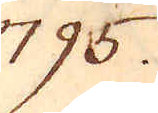795.
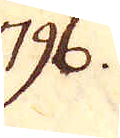796.
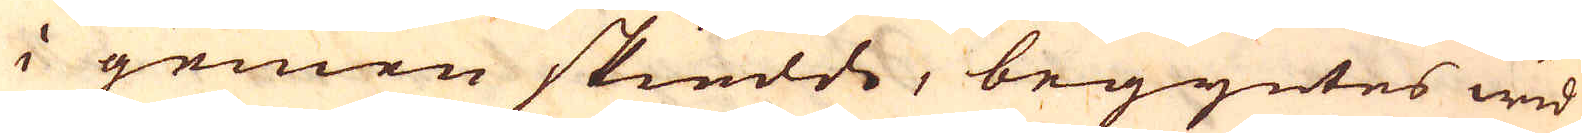i gemen skiedde, begyntes wid
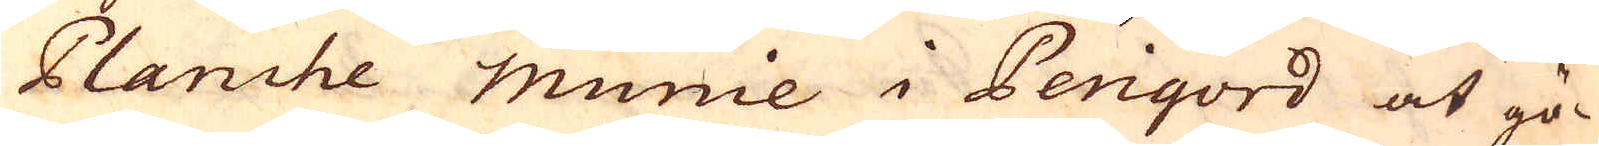Planche Munie i Perigord at gö-
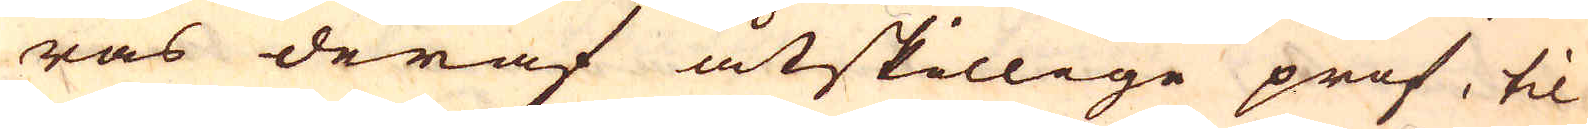ras deraf åtskillige prof, til
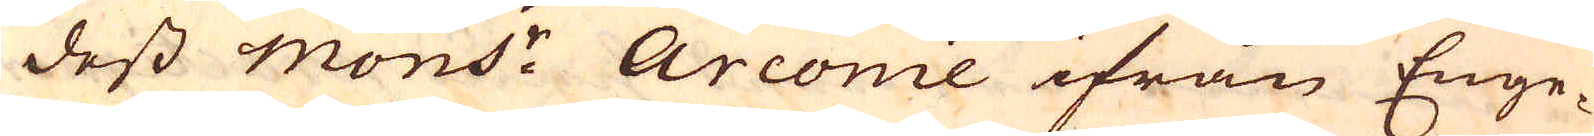dess mons: Arconie ifrån Enge-
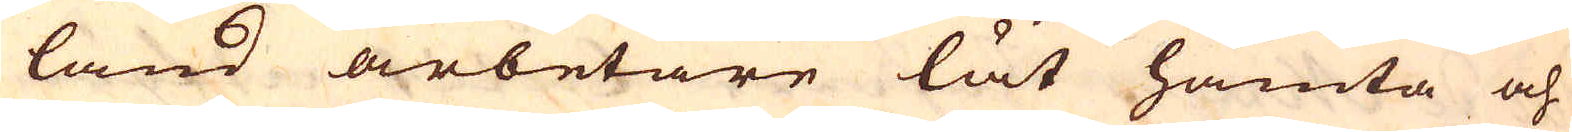land arbetare lät hämta och
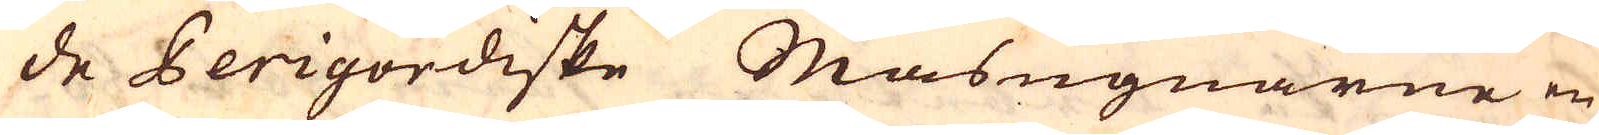de Perigordiske Masugnarne en
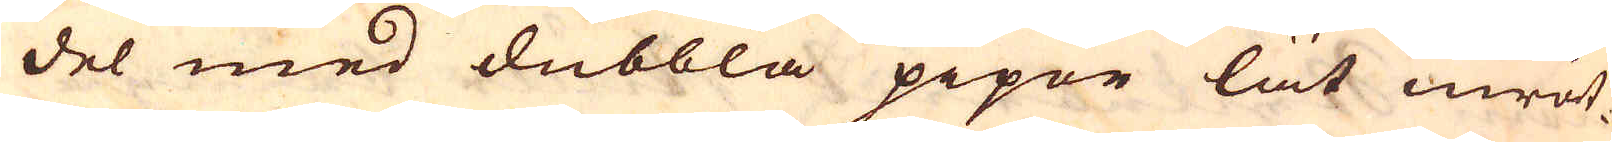del med dubbla pipor lät inrät-
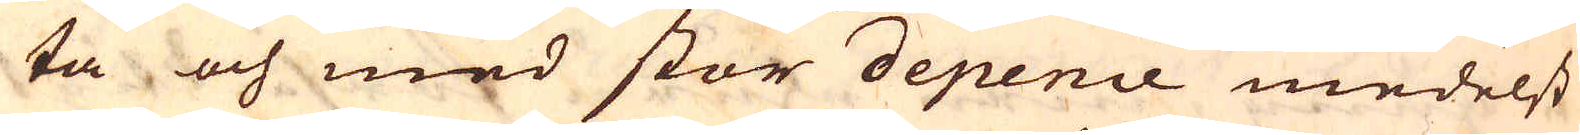ta och med stor depence medelst
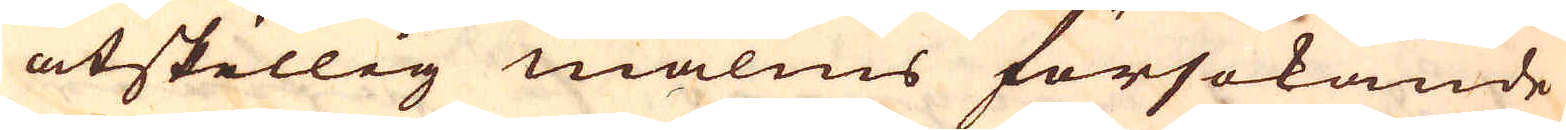åtskillig malms försökande
